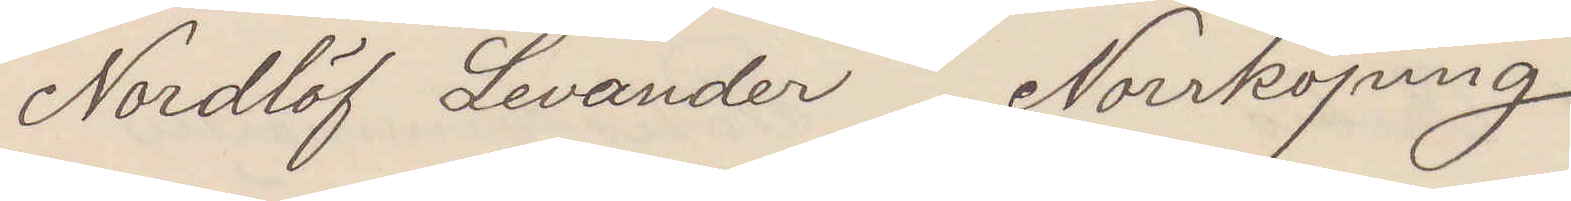Nordlöf Levander  Norrköping
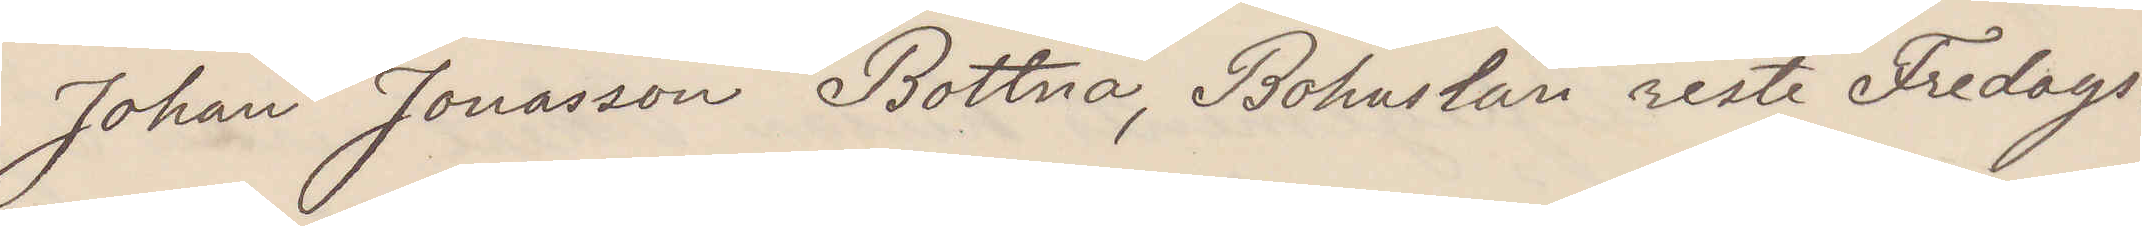Johan Jonasson Bottna, Bohuslän reste Fredags.
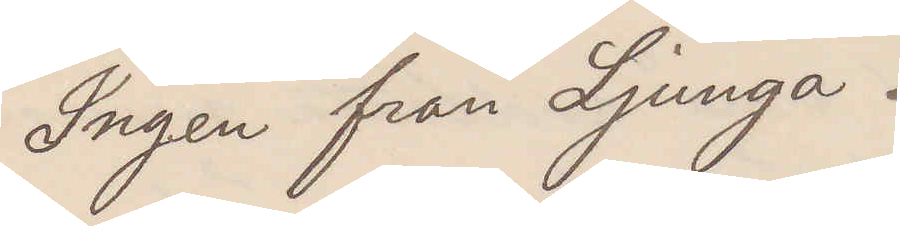Ingen från Ljunga.
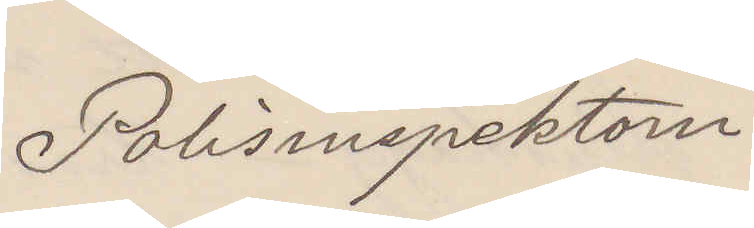Polisinspektorn
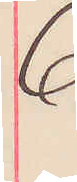6
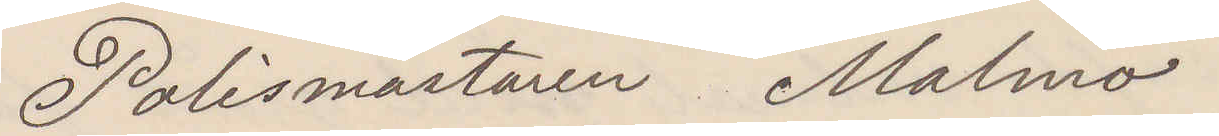Polismästaren Malmö
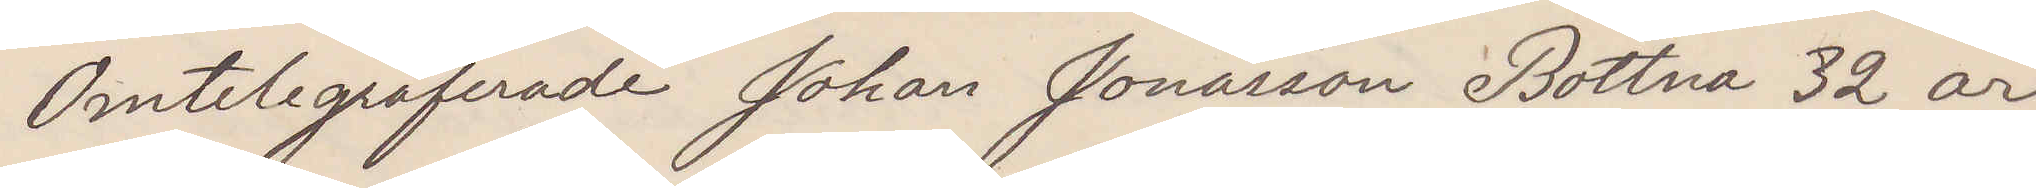Omtelegraferade Johan Jonasson Bottna 32 år,
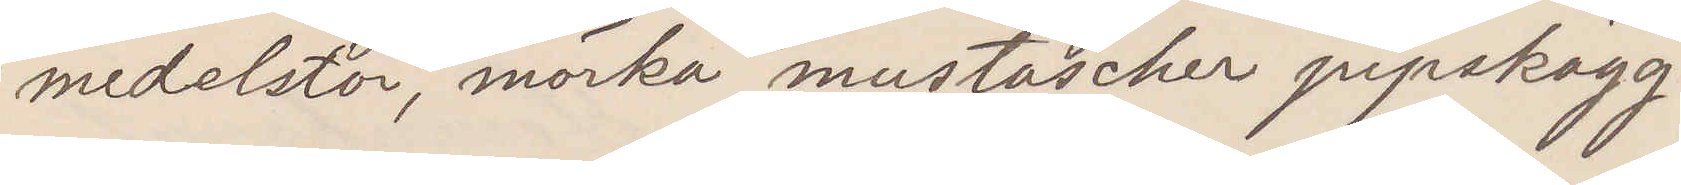medelstor, mörka mustascher pipskägg.
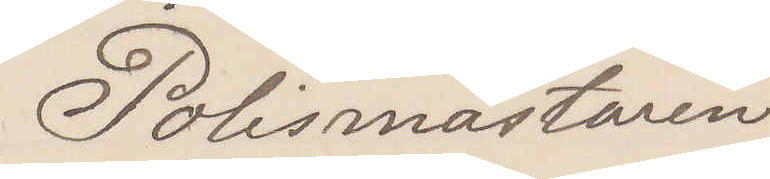polismästaren
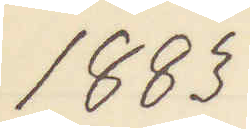1883
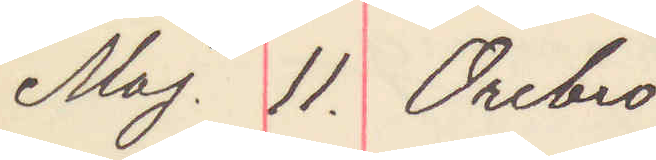Maj. 11. Örebro
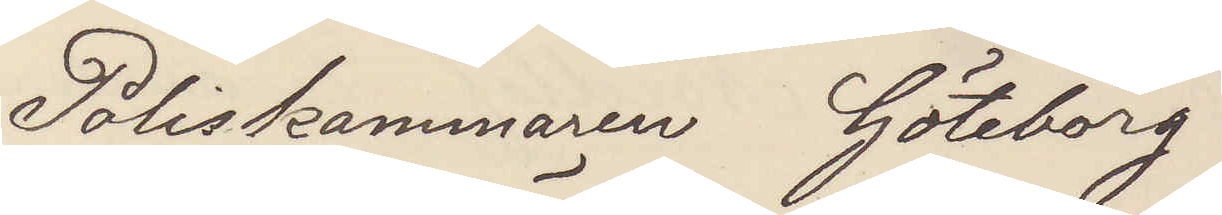Poliskammaren Göteborg
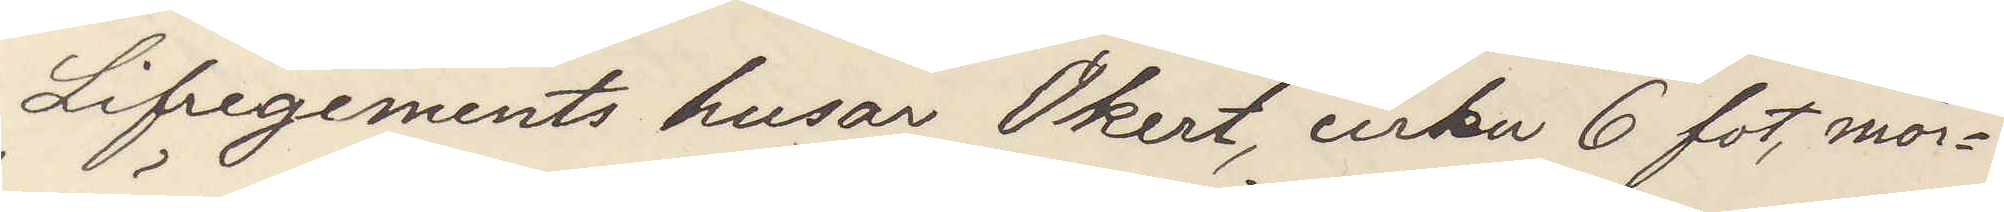Lifregementets husar Ökert, cirka 6 fot, mör¬
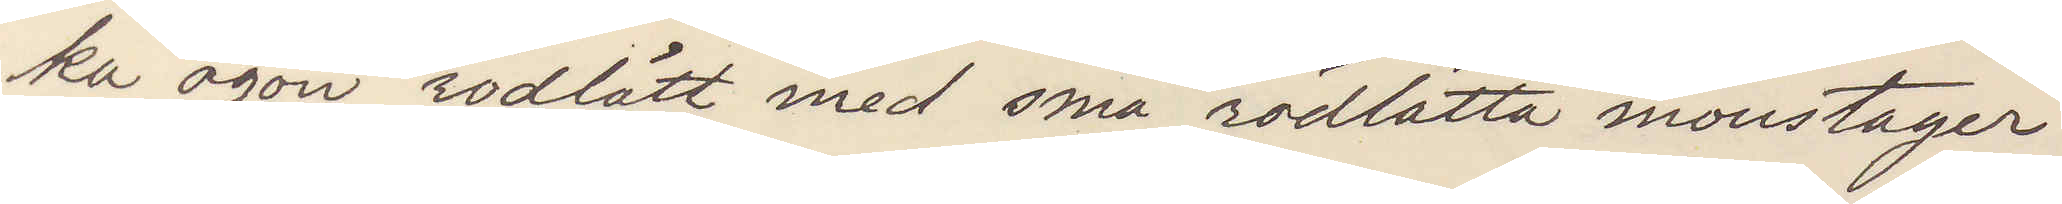ka ögon rödlätt med små rödlätta moustager
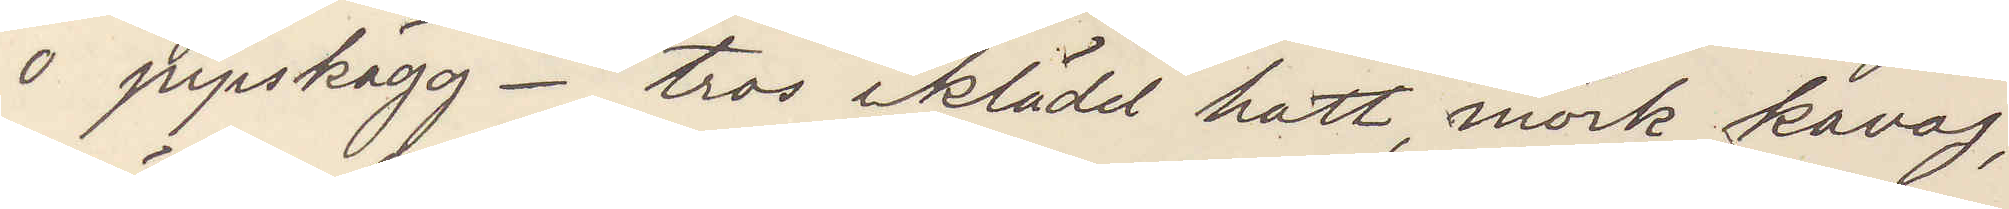o pipskägg. tros iklädd hatt, mörk kavaj,
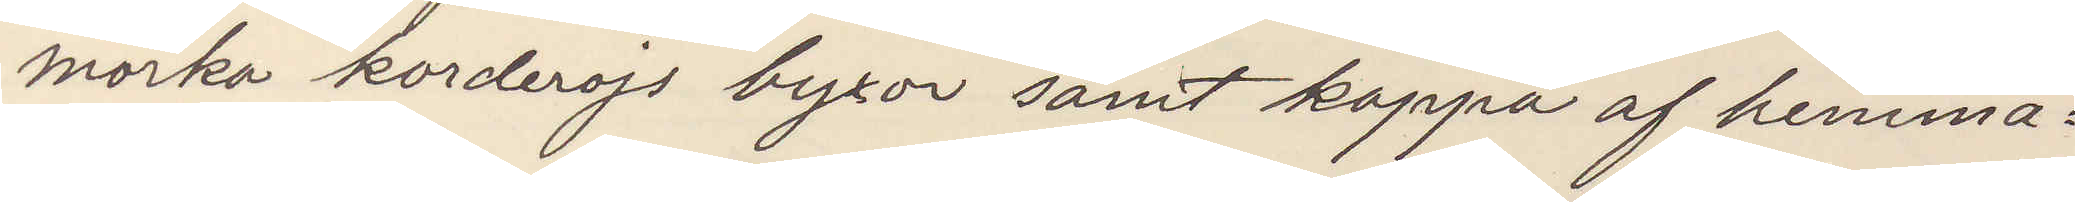mörka korderojs byxor samt kappa af hemma¬
